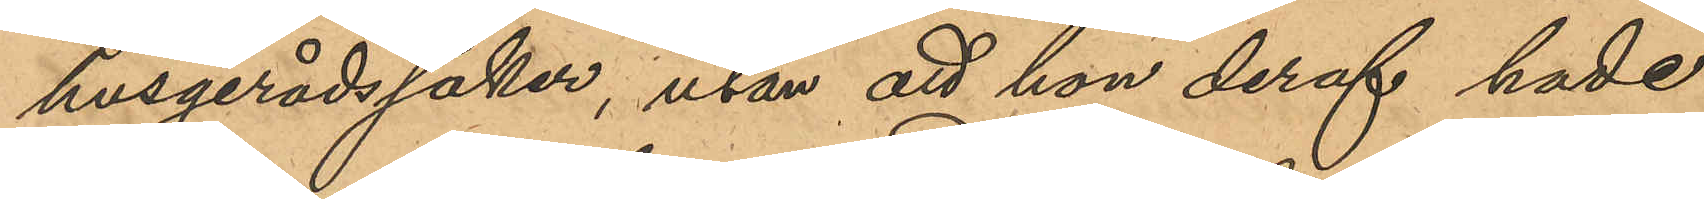husgerådssaker, utan att hon deraf hade
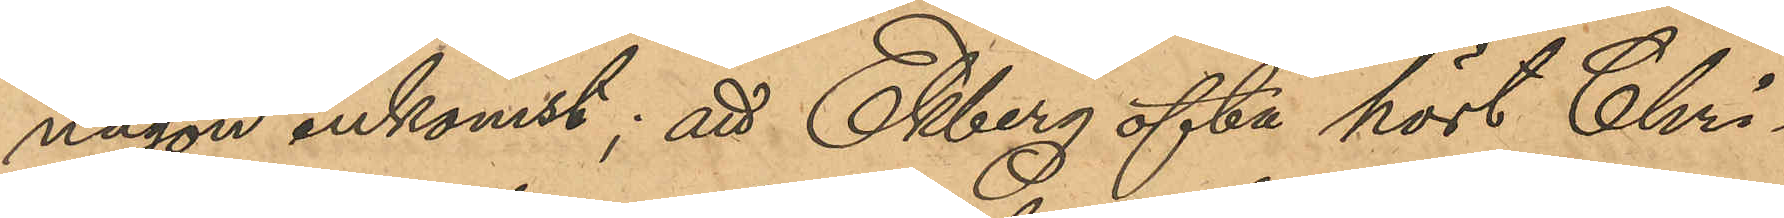någon inkomst; att Ekberg ofta hört Chri¬
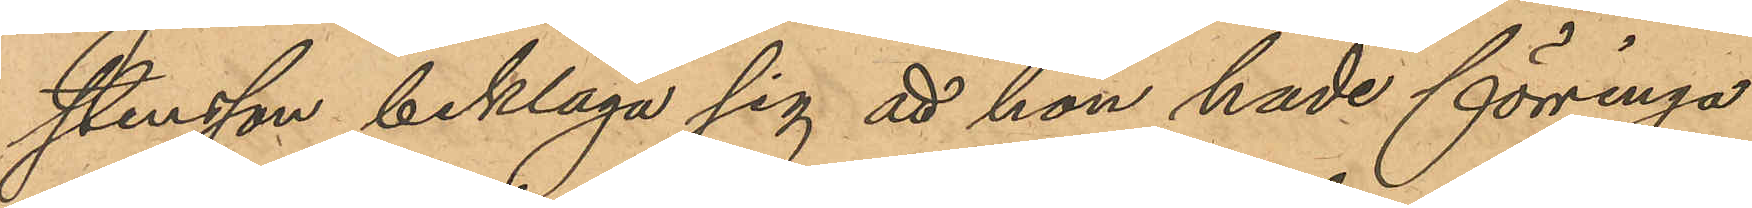stensson beklaga sig att hon hade förringa
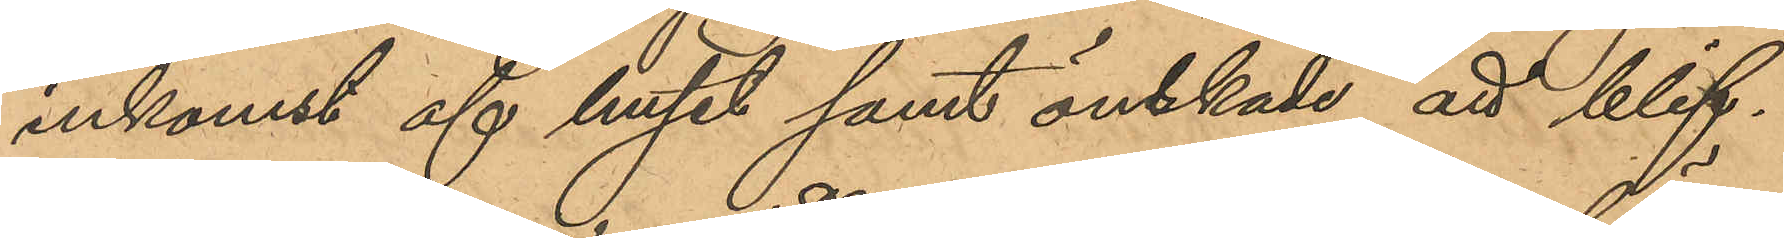inkomst af huset samt önskade att blif¬
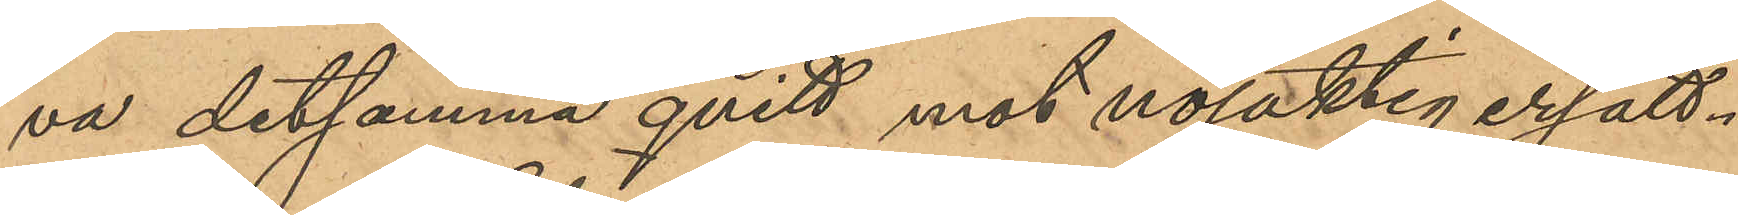va detsamma qvitt mot nöjaktigt ersätt¬
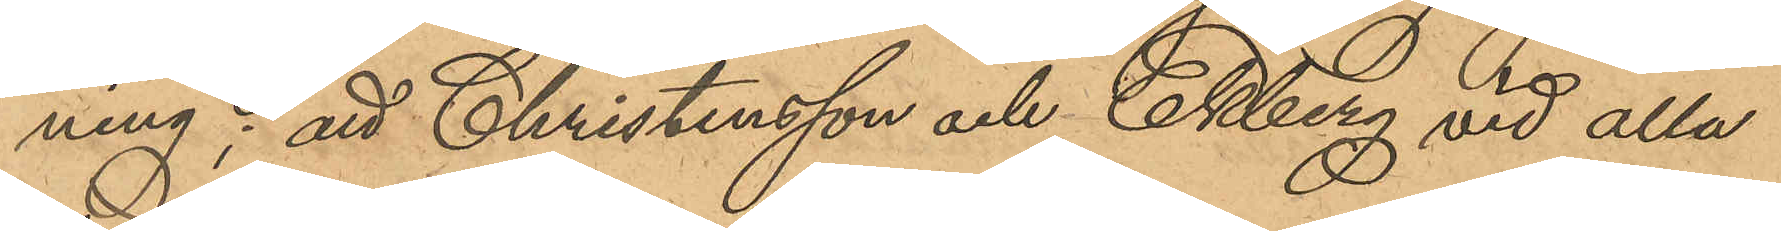ning; att Christensson och Ekberg vid alla
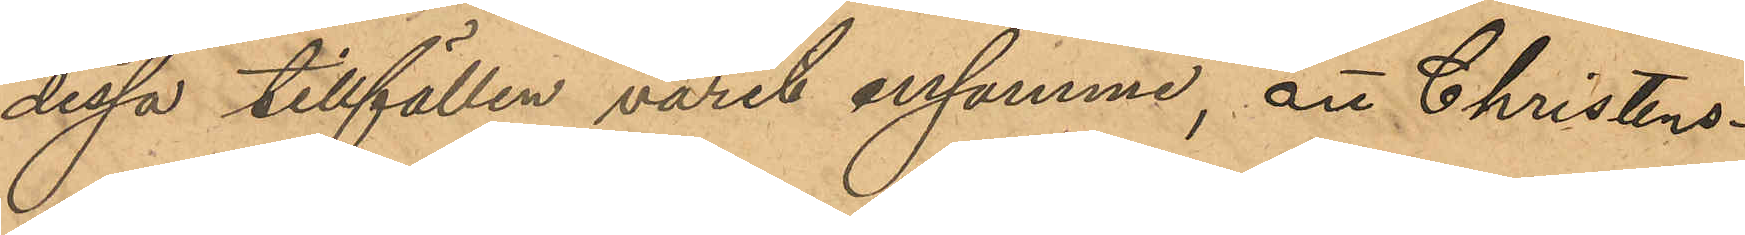dessa tillfällen varit ensamma, att Christens¬
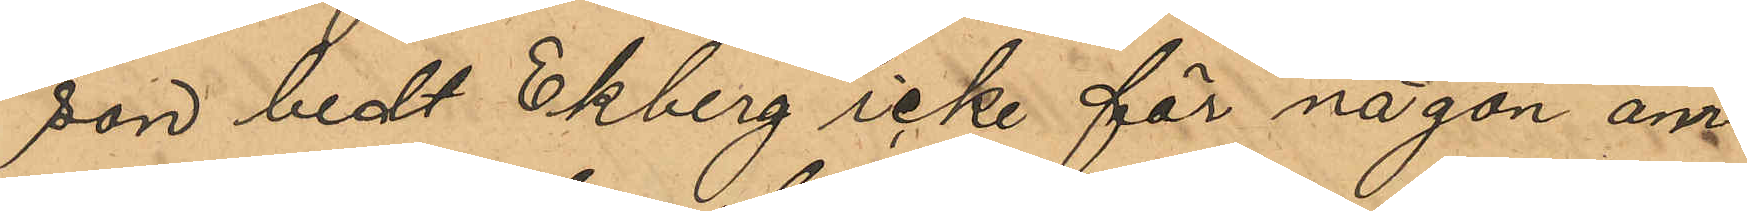son bedt Ekberg icke för någon om¬
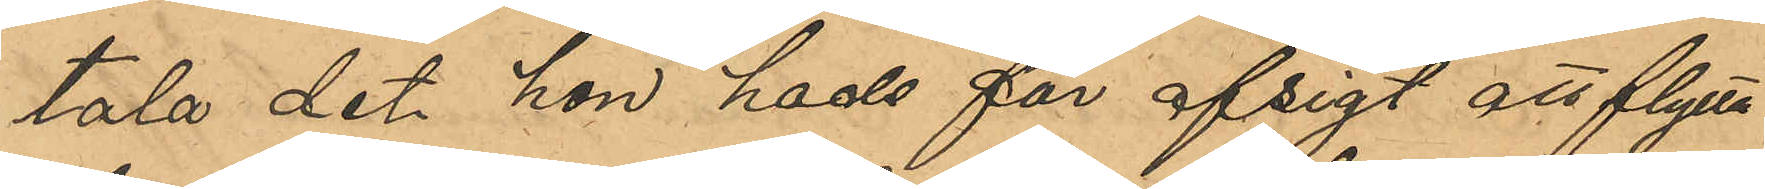tala det hon hade för afsigt att flytta
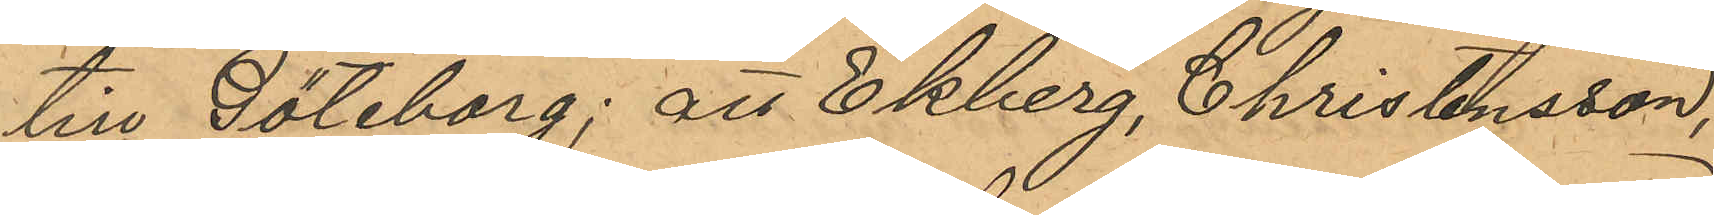till Göteborg; att Ekberg, Christensson,
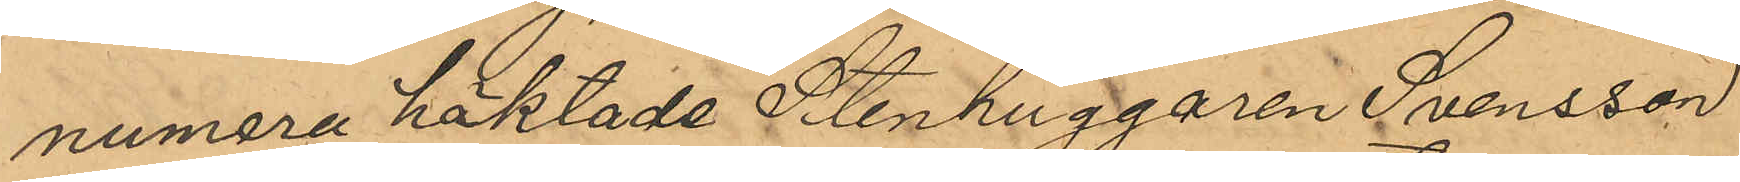numera häktade Stenhuggaren Svensson
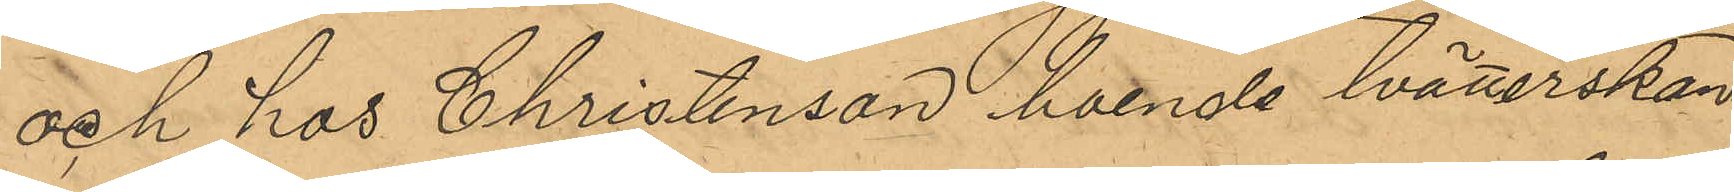och hos Christensson boende tvätterskan
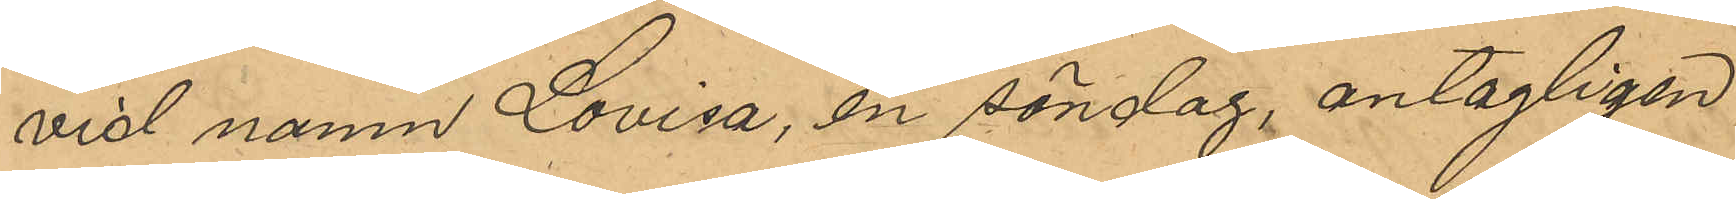vid namn Lovisa, en söndag, antagligen
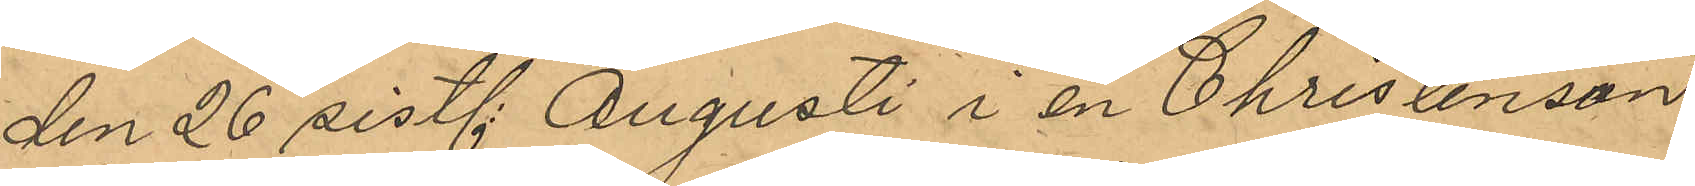den 26 sistl Augusti i en Christensson
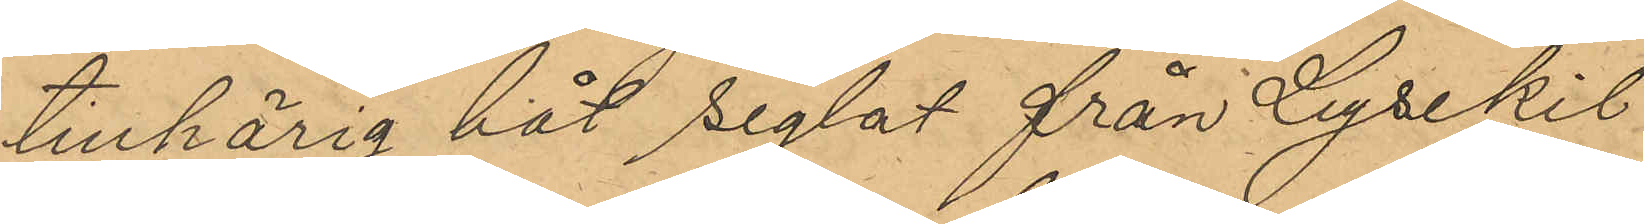tillhörig båt seglat från Lysekil
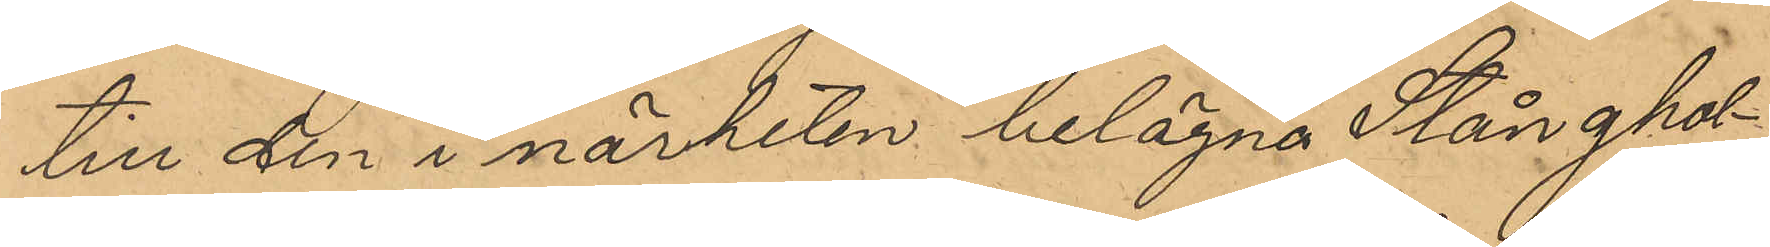till den i närheten belägna Stånghol¬
